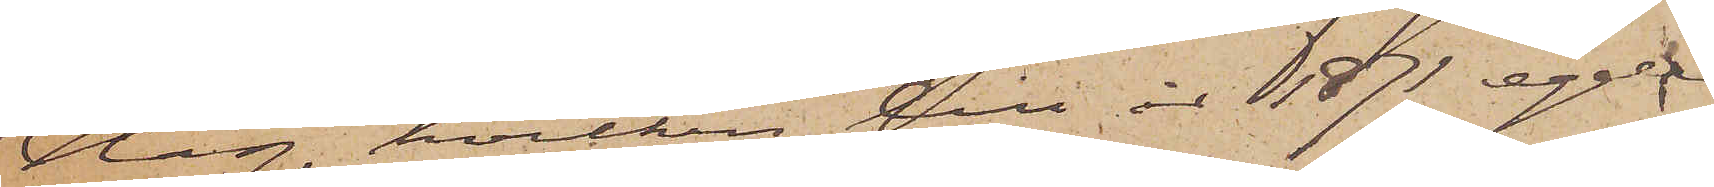Hag, hvilken till år 1871 egde
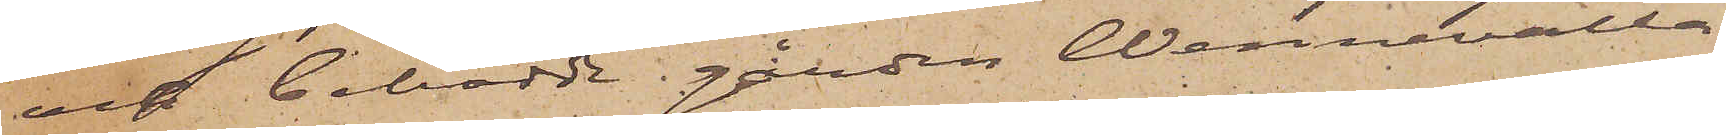och bebodde gården Wennevalla
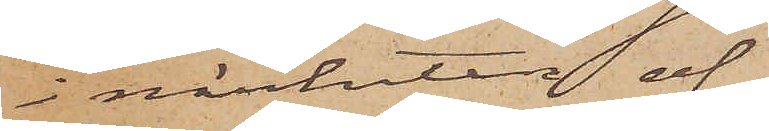i närheten af
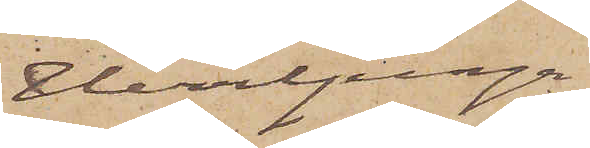Herrljunga
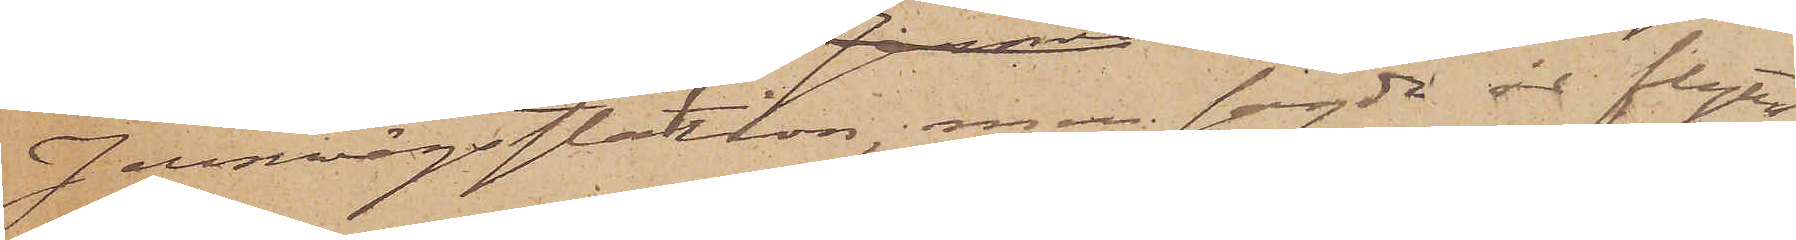Jernvägsstation, men sagde år flytta¬
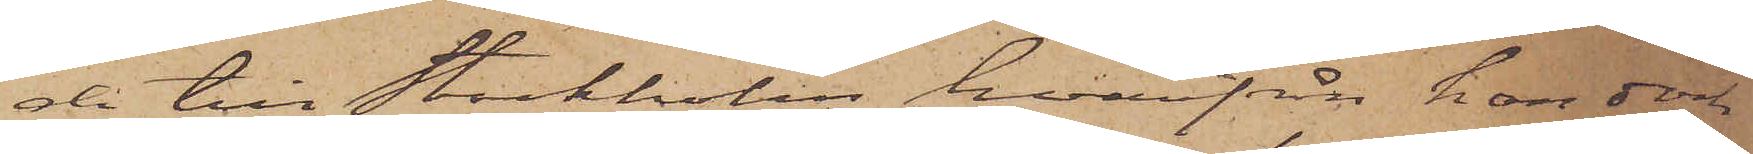de till Stockholm, hvarifrån han dock
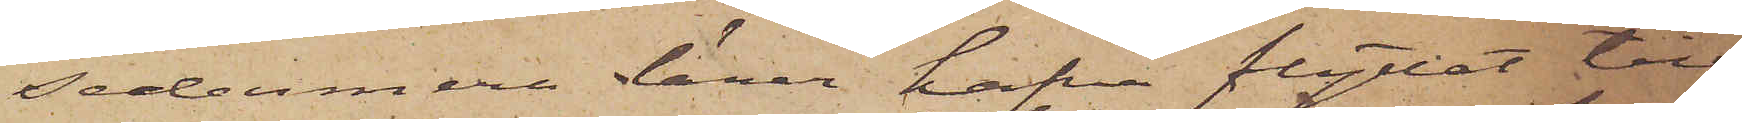sedermera lärer hafva flyttat till
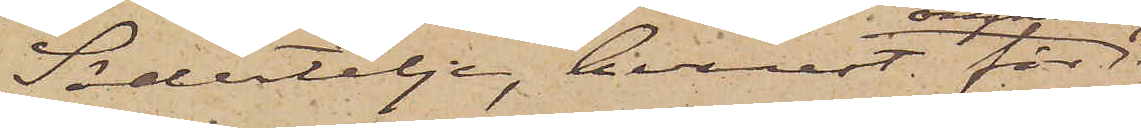Södertelje, hvarest för
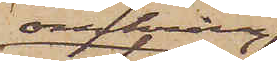omkring
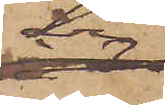år
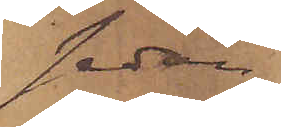sedan
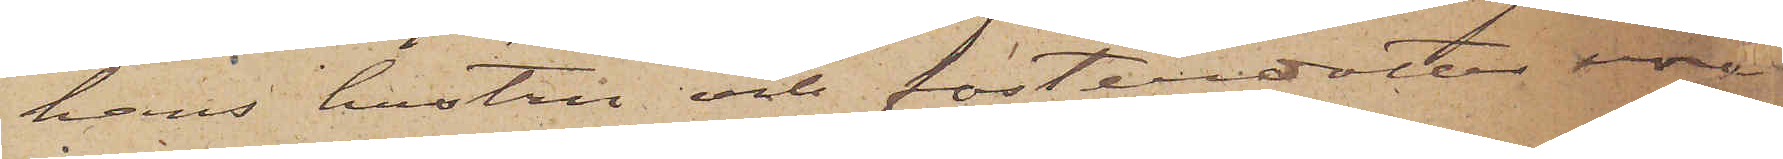hans hustru och fosterdotter voro
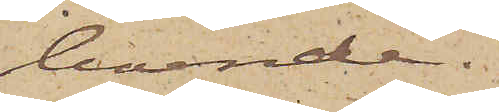boende.
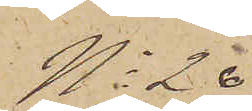No 20
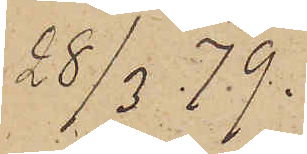28/3 79.
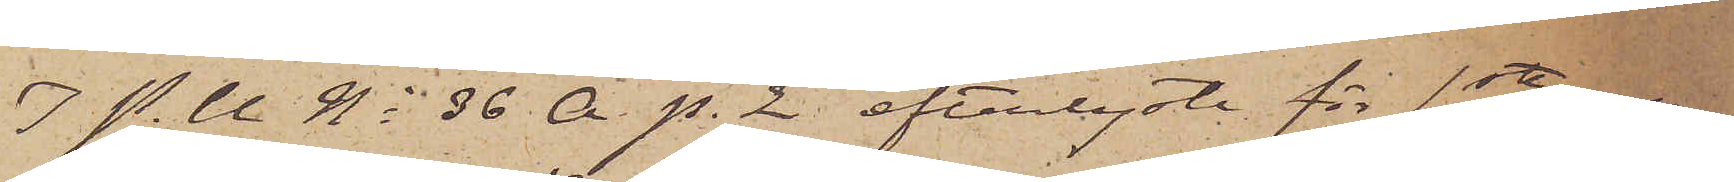I P. U. No 36 A p. 2 efterlyste för 1sta resan
